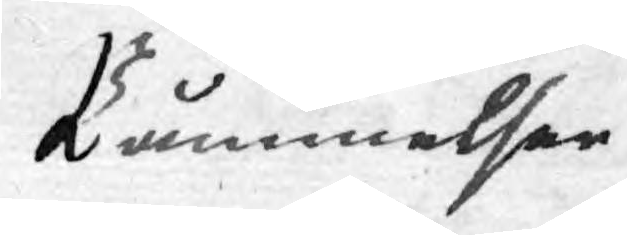Påminelser
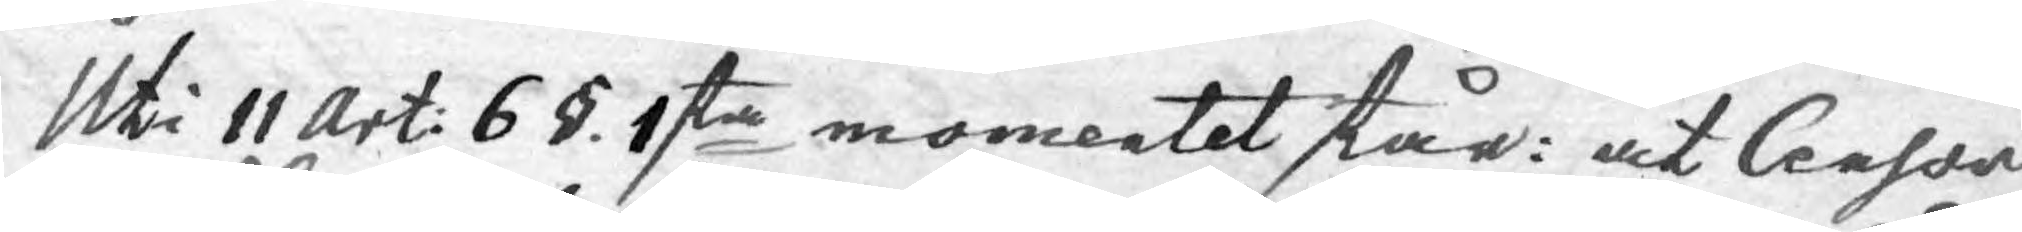Uti 11 Art: 6 §. 1sta momentet står: at Censor
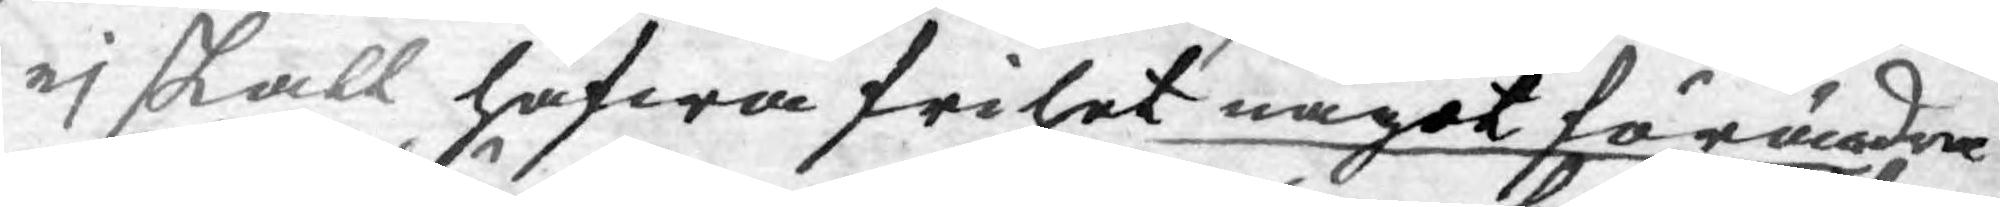ej skall hafwa frihet något förändra
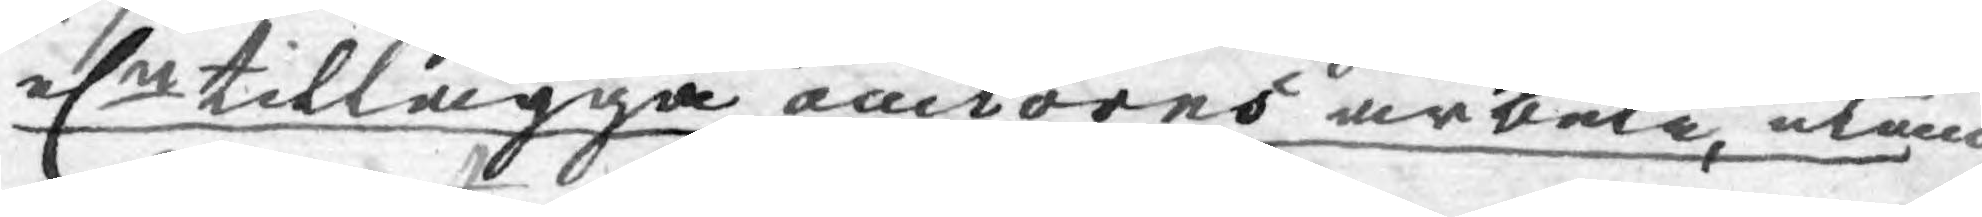elr tillägga auctores arbete, utan
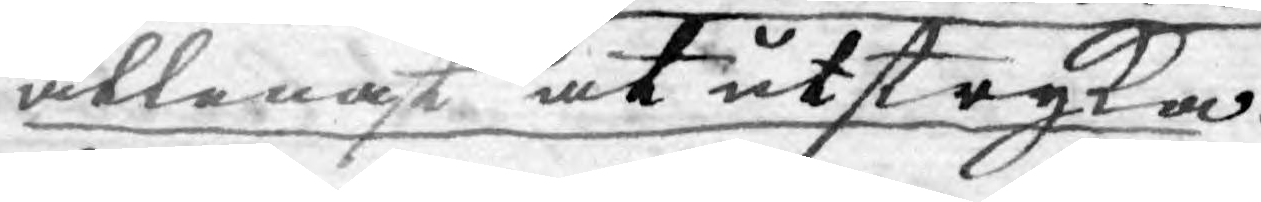allenast at utstryka.
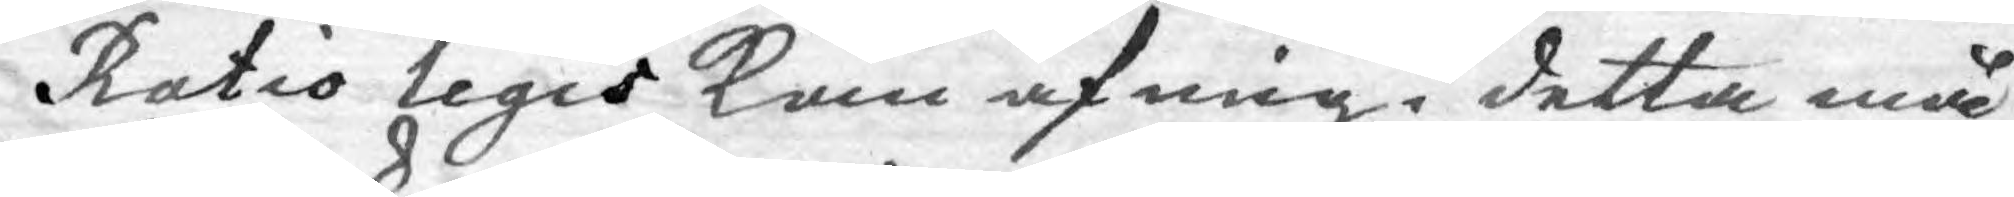Ratio legis kan af mig i detta må
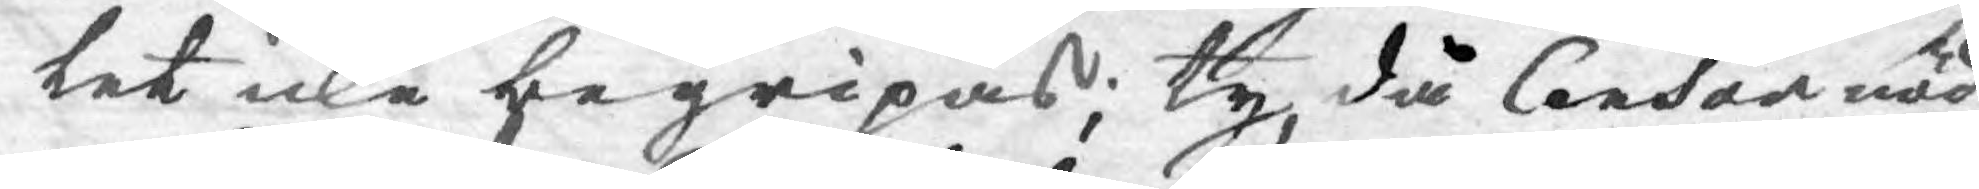det icke begripas; ty, då Censor nöd¬
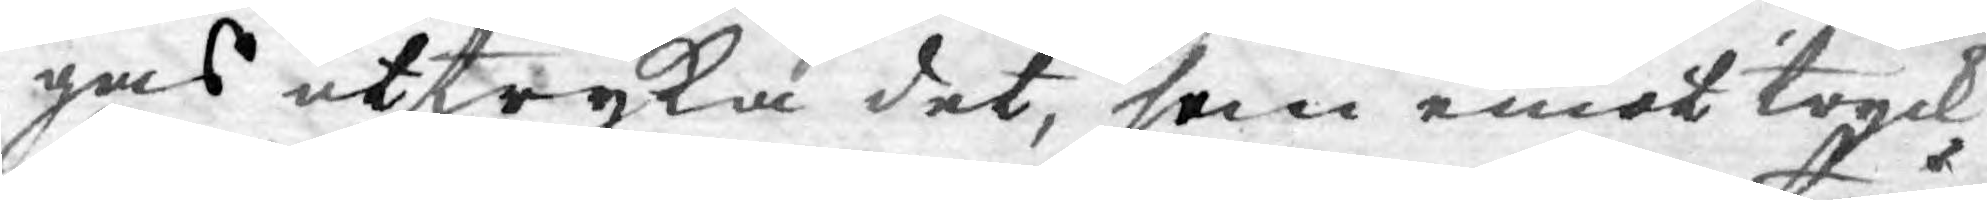gas utstryka det, som emot tryck¬
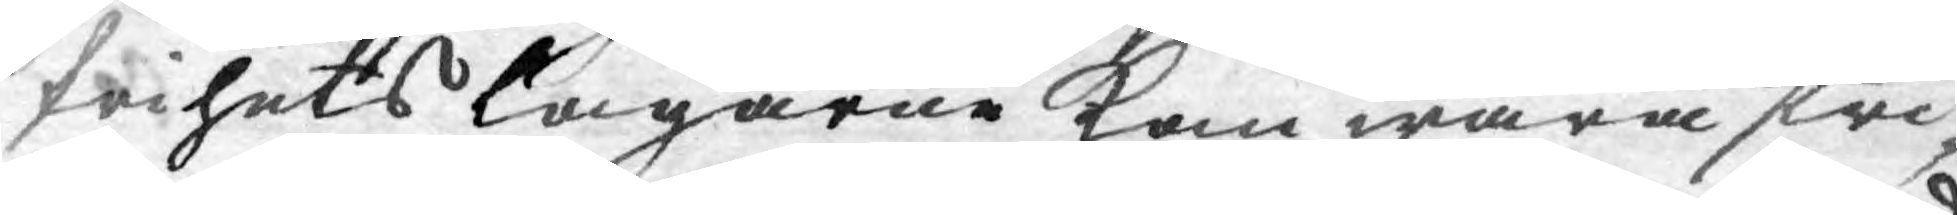frihets Lagarne kan wara stri¬
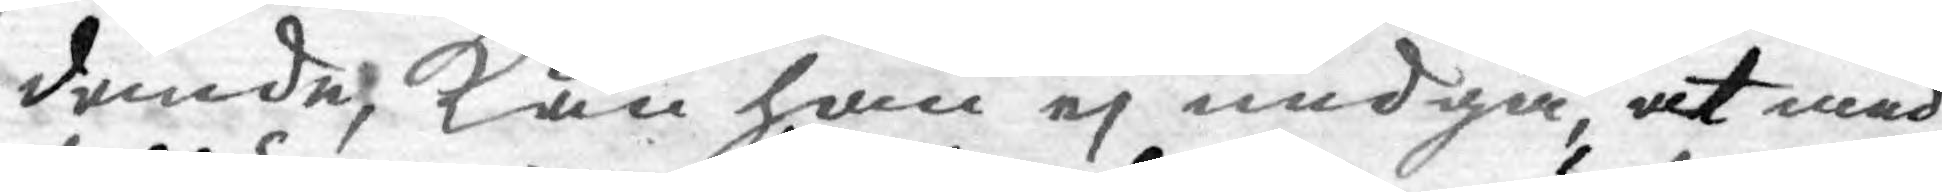dande, kan han ej undgå, at med
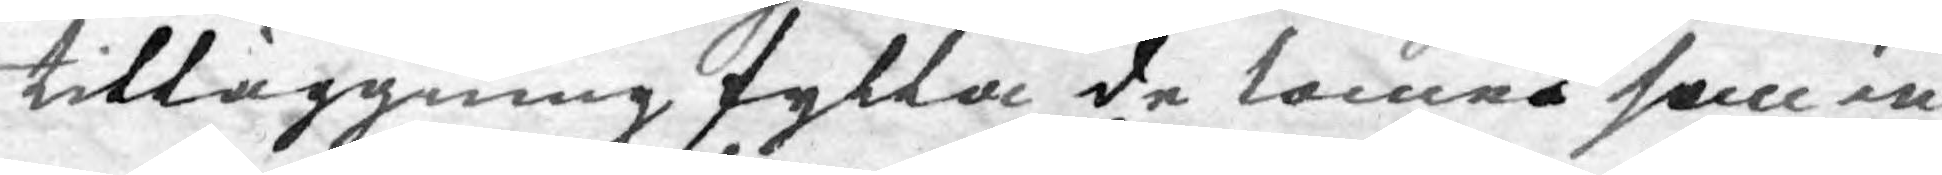tilläggning fylla de lemné som in
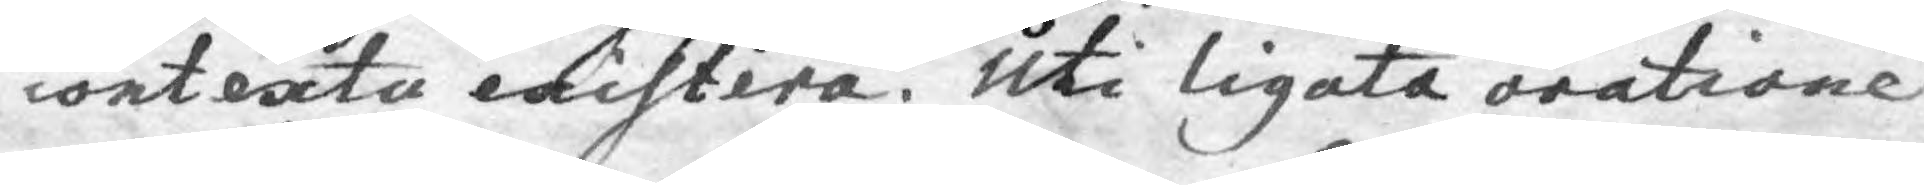contexta existera. Uti ligata oratione
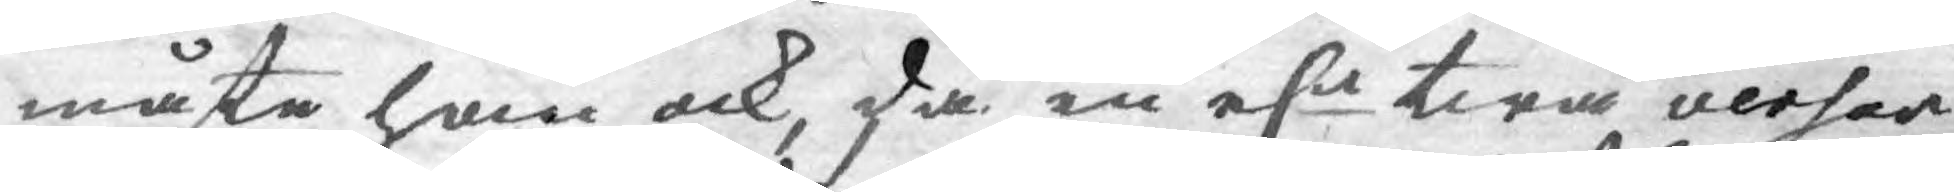måste han ock, då en elr twå verser
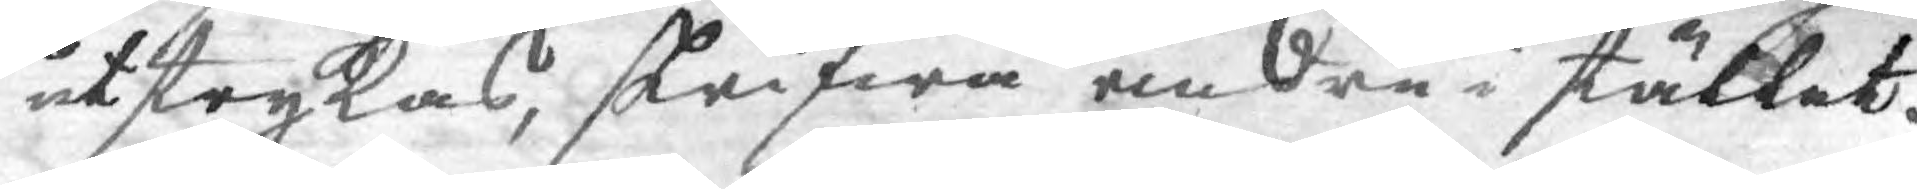utstrykas, skrifwa andra i stället.
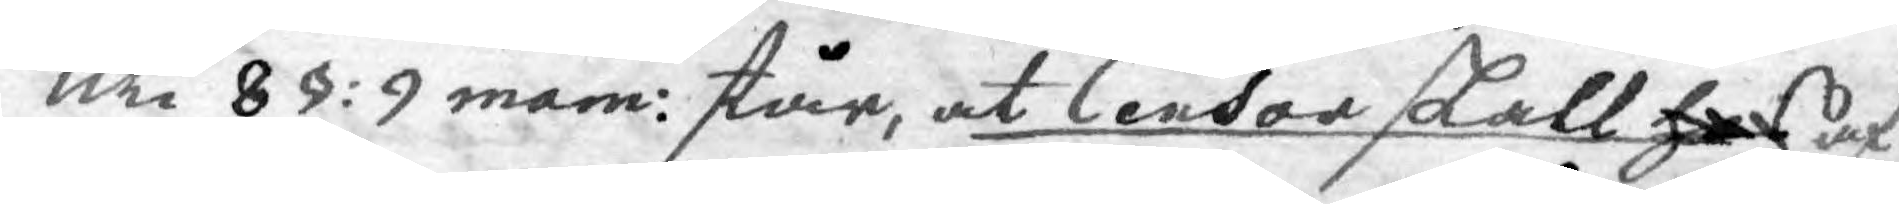Uti 8 §: 9 mem: står, at Censor skall hos af
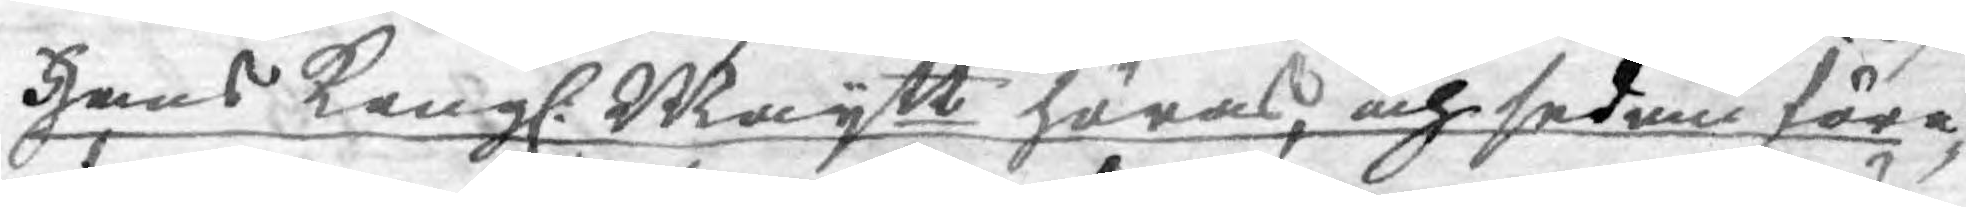Hans Kongl. Maytt höras, och sedan före¬
